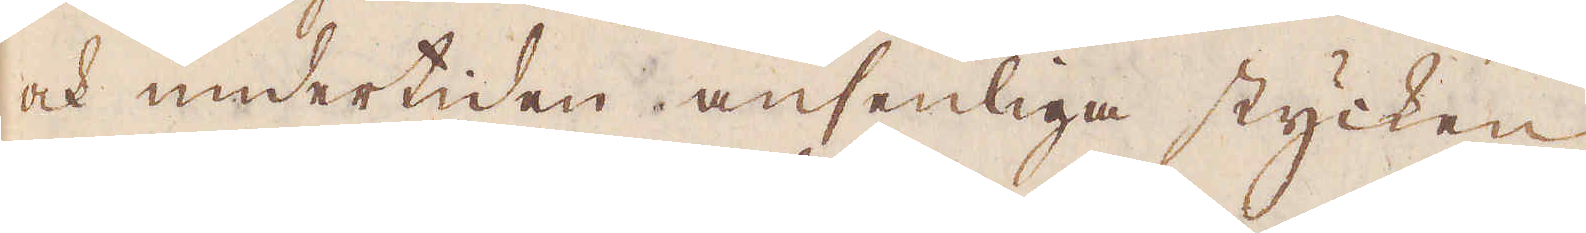ock undertiden ansenliga stycken
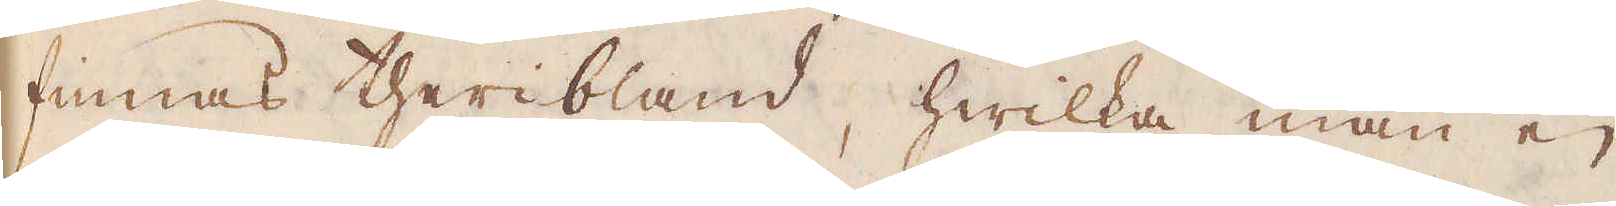finnas theribland, hwilka man ej
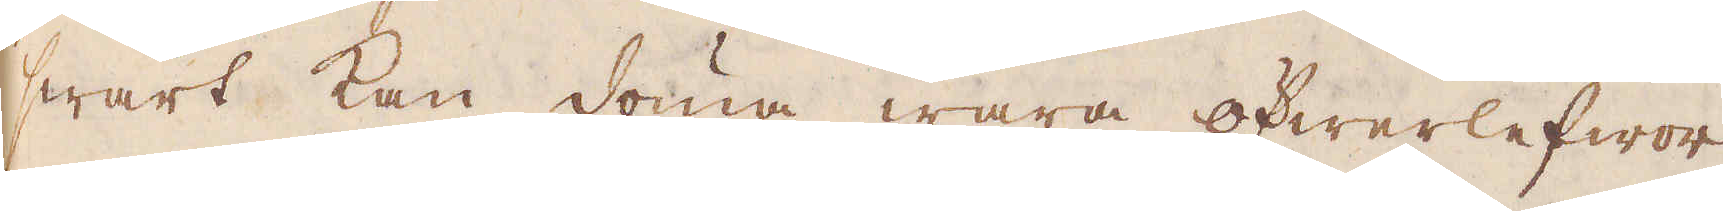swårt kan döma wara öfwerlefwor
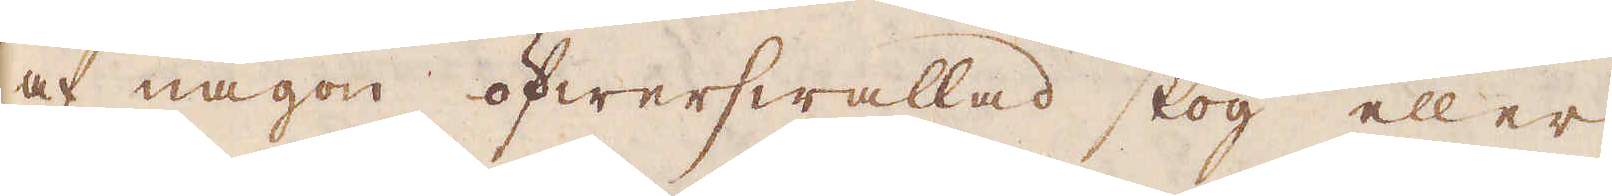af någon öfwerswallad skog eller
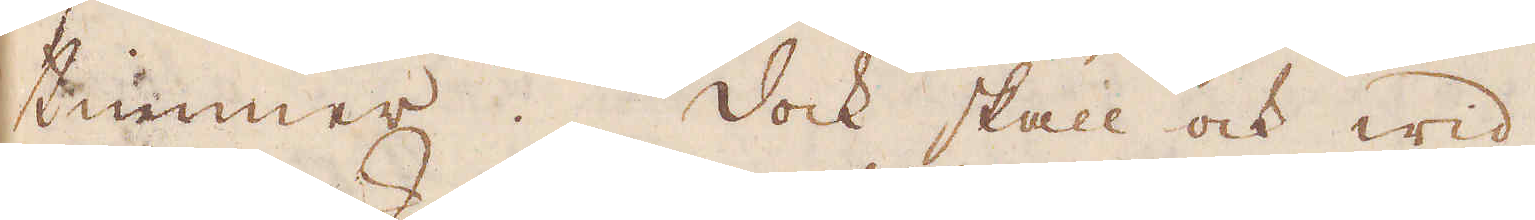timmer. Dock skall ock wid
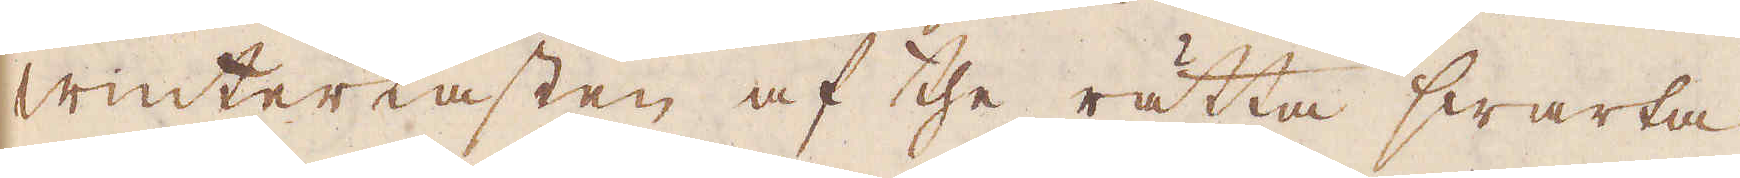Winterkasten af the rätta swarta
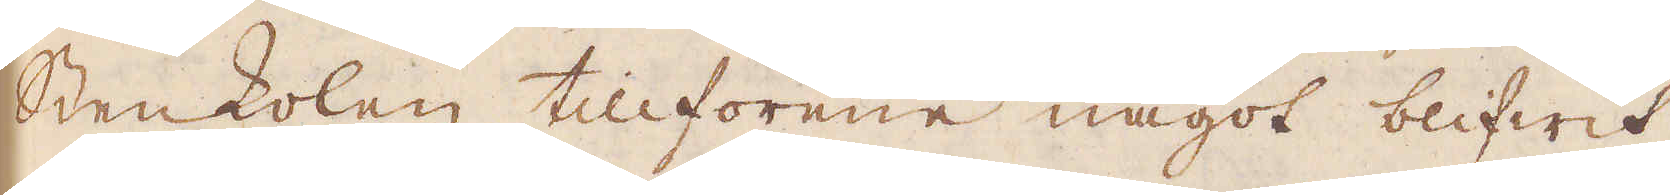Stenkolen tillförene något blifwit
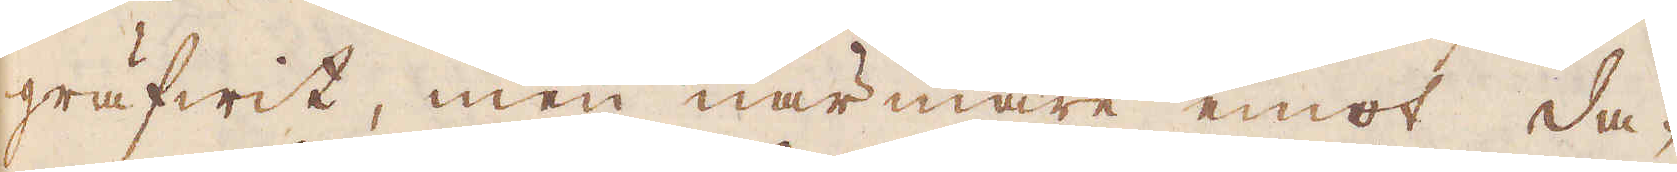gräfwit, men närmare emot da-
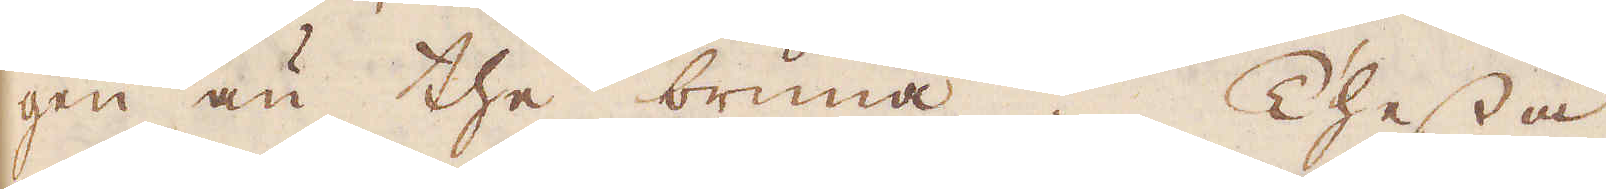gen än the bruna. Thessa
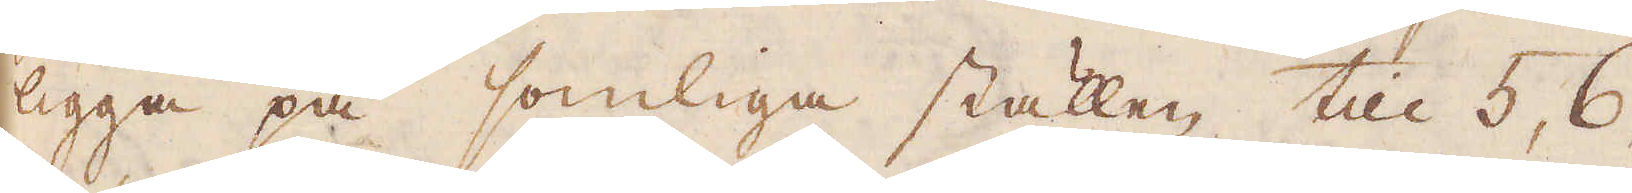ligga på somliga ställen till 5, 6,
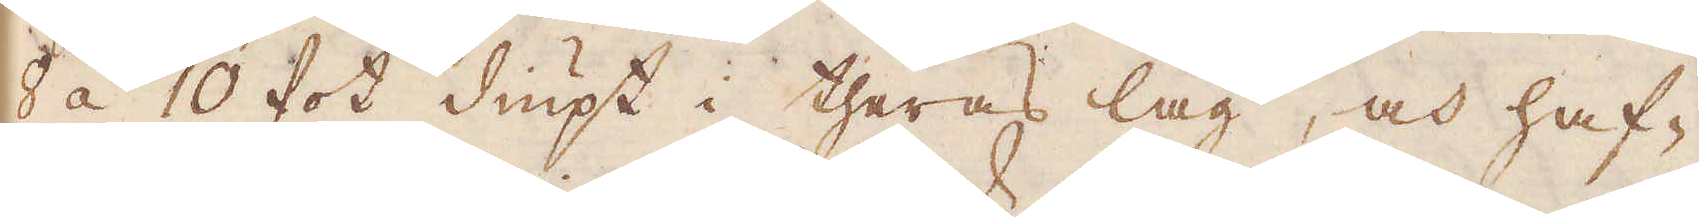8 á 10 fot diupt i theras lag, och haf-
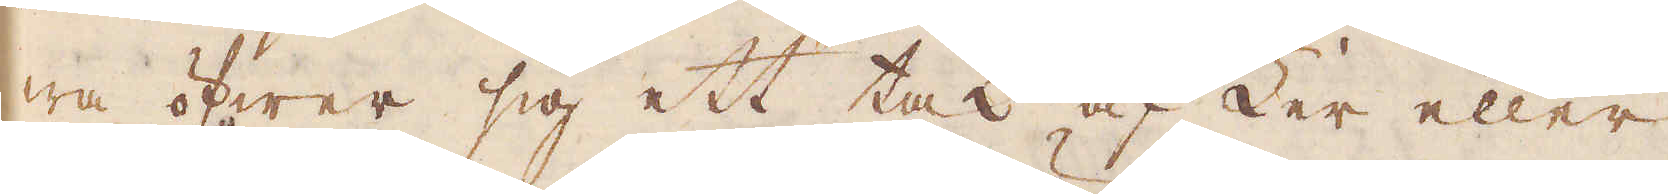wa öfwer sig ett tak af Ler eller
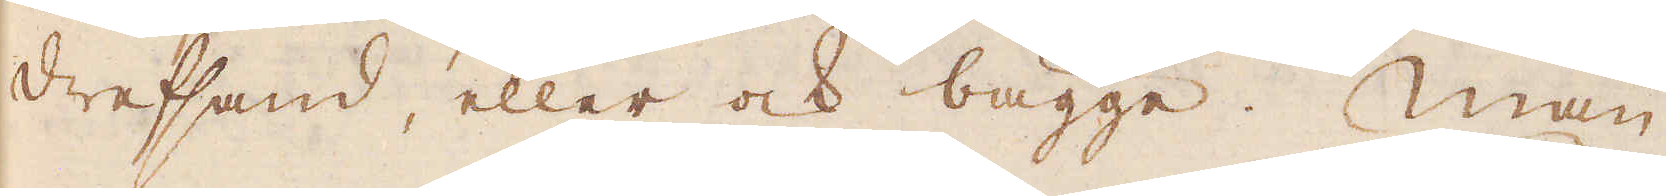drefsand, eller ock bägge. Man
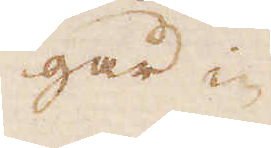går i-
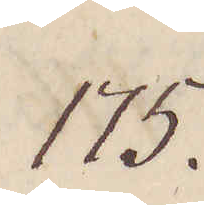175.
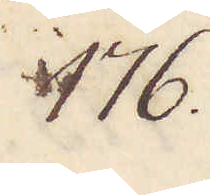176.
